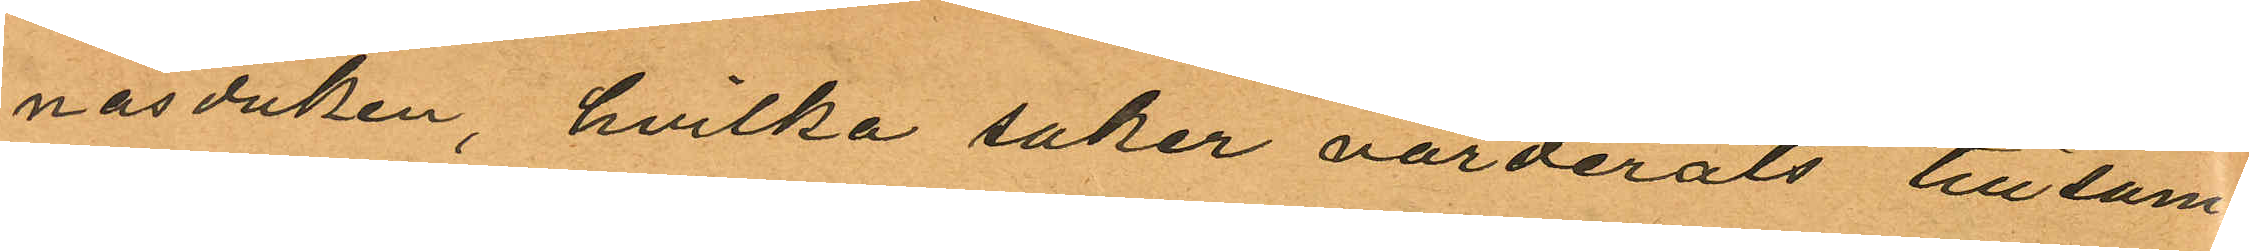näsduken, hvilka saker värderats tillsam¬
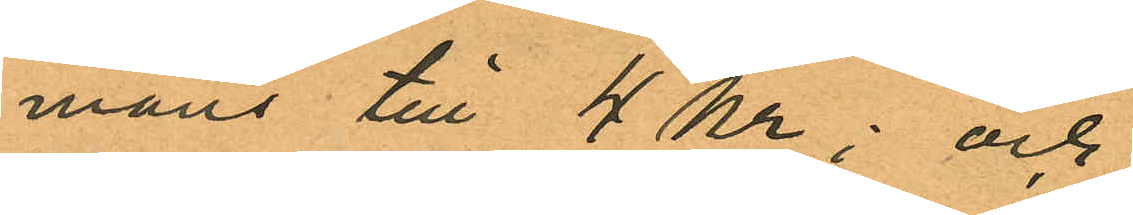mans till 4 kr; och
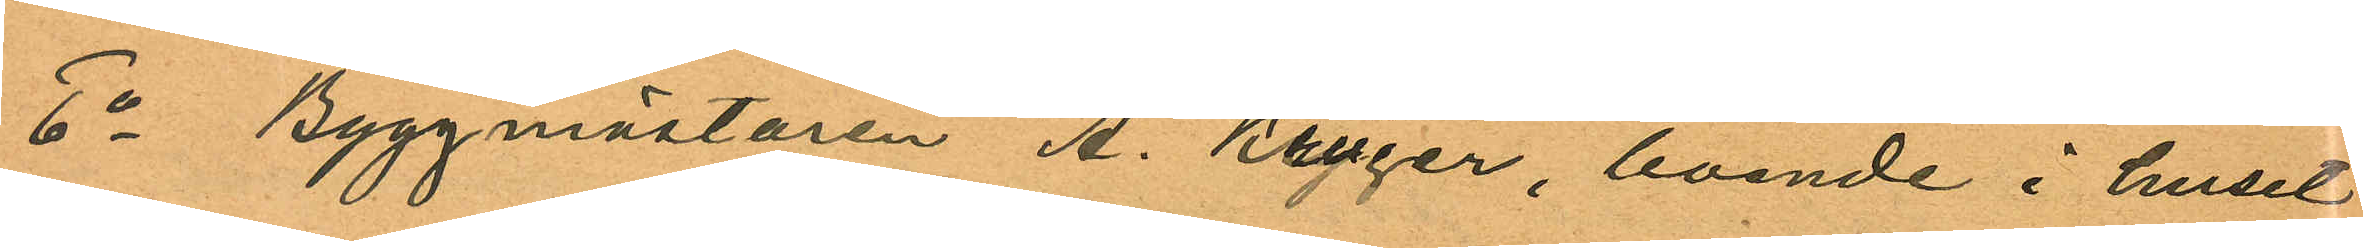6o Byggmästaren A. Krüger, boende i huset
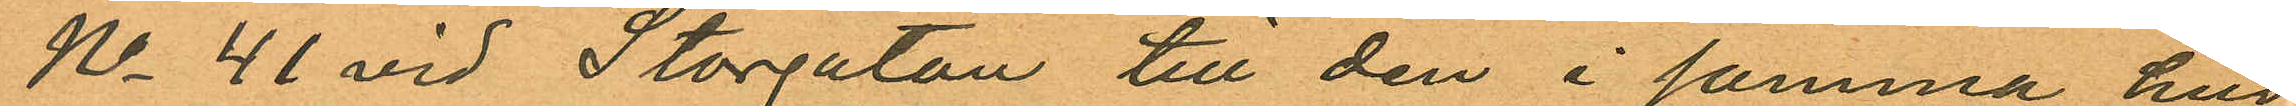No 41 vid Storgatan till den i samma hus
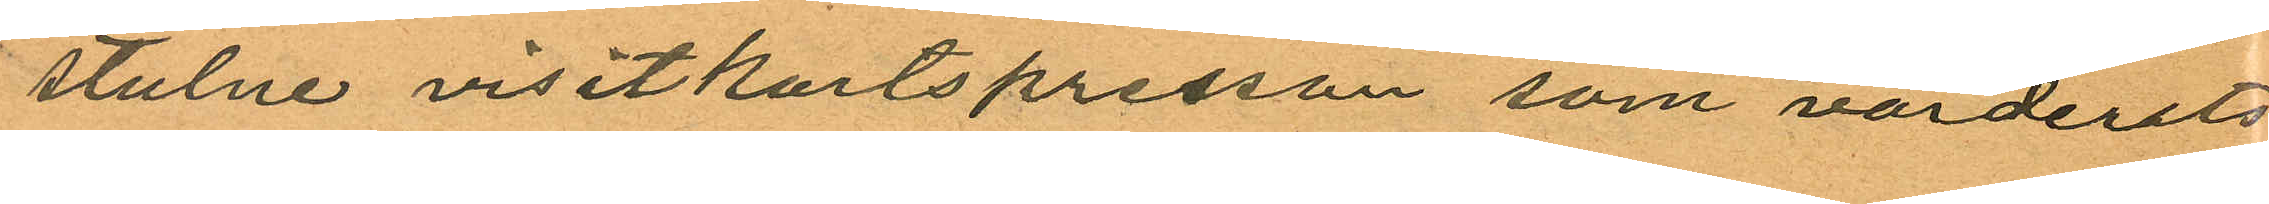stulne visitkortspressen som värderats
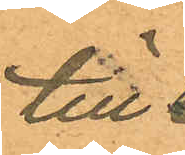till
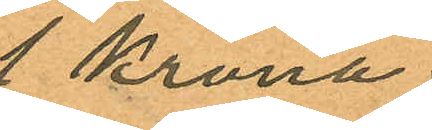1 Krona
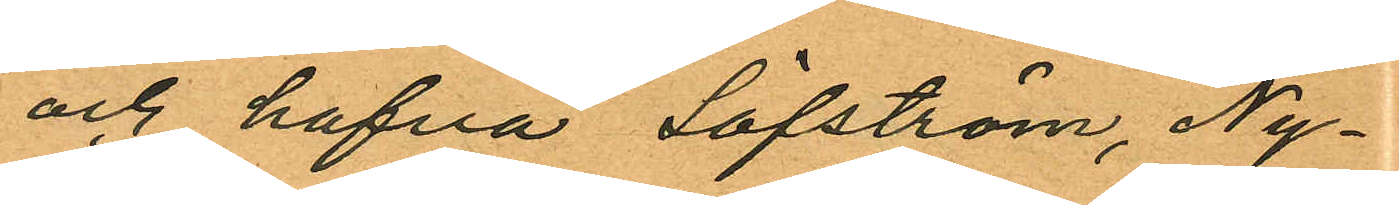och hafva Löfström, Ny¬
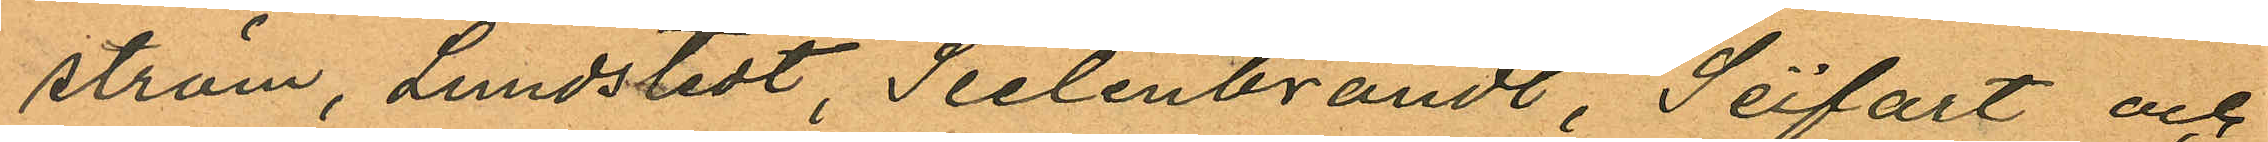ström, Lundstedt, Seelenbrandt, Seifart och
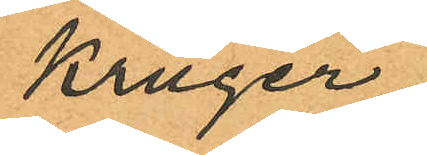Krüger
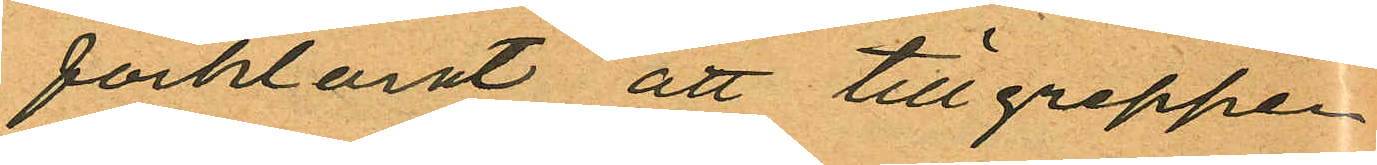förklarat att tillgreppen
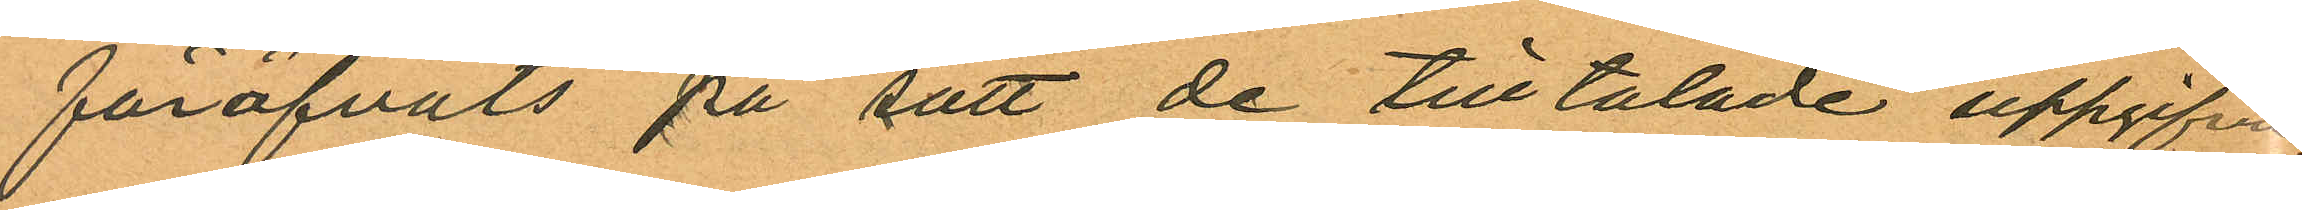föröfvats på sätt de tilltalade uppgifvit
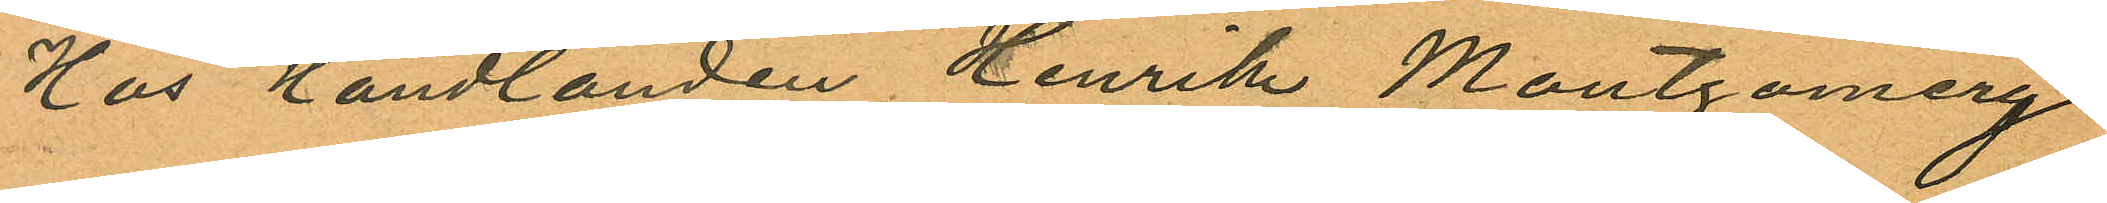Hus Handlanden Henrik Montgomery
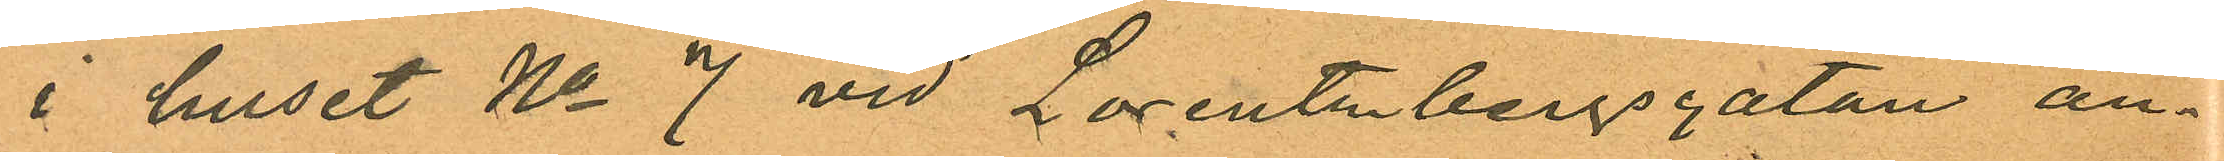i huset No 7 vid Lorentzbergsgatan an¬
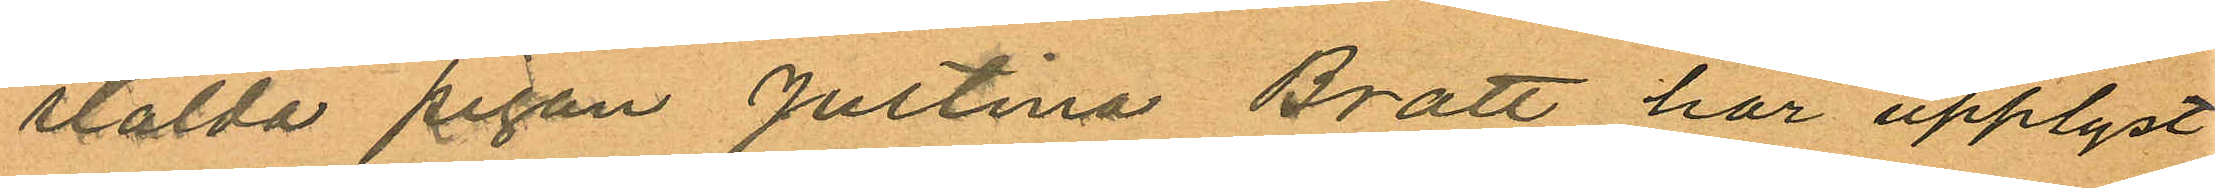stälda pigan Justina Bratt har upplyst
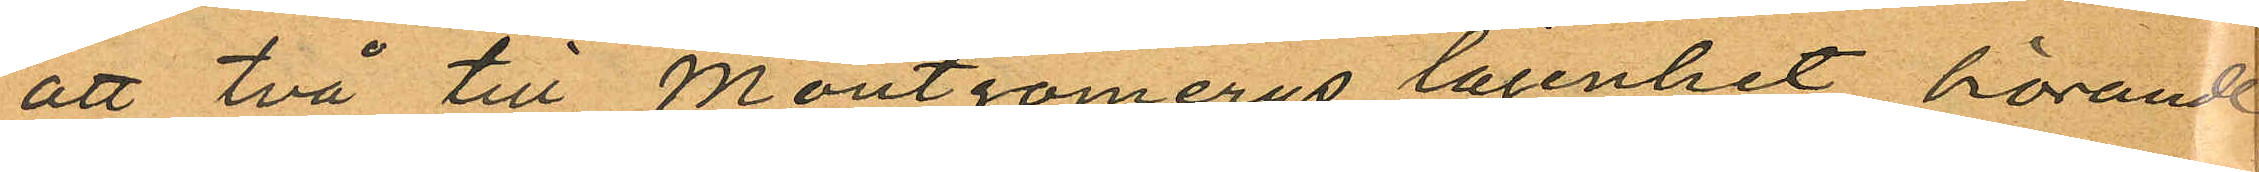att två till Montgomerys lägenhet hörande
